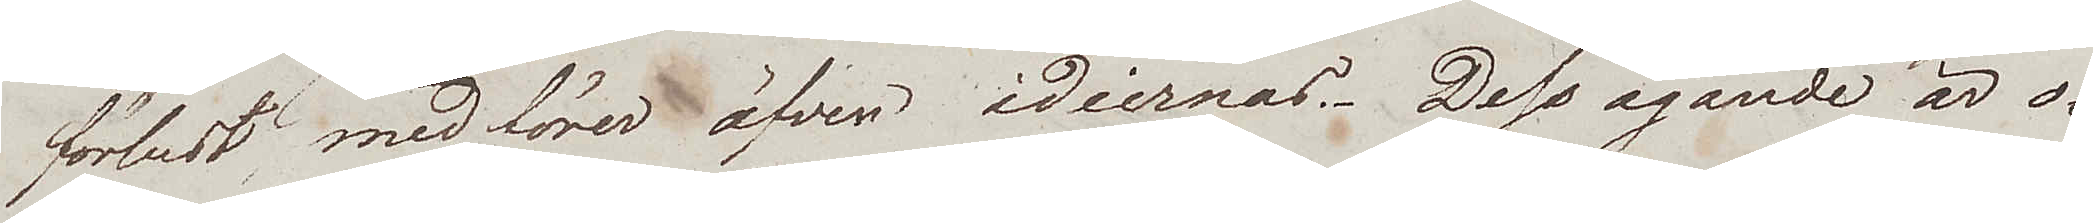förlust medförer äfven idéernas. Dess ägande är o¬
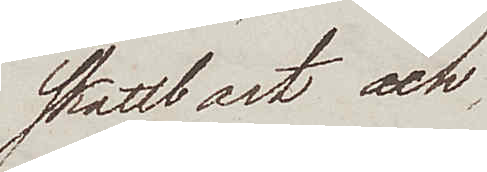skattbart och
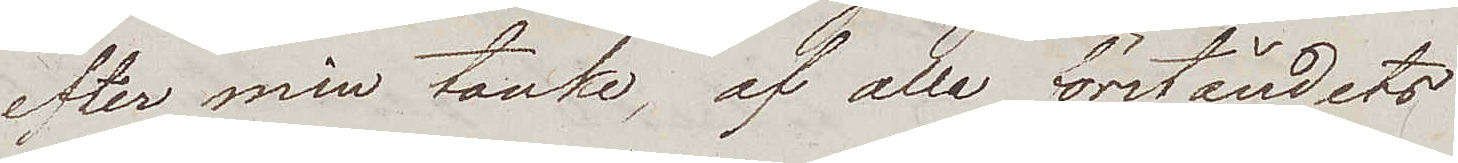efter min tanke, af alla förståndets
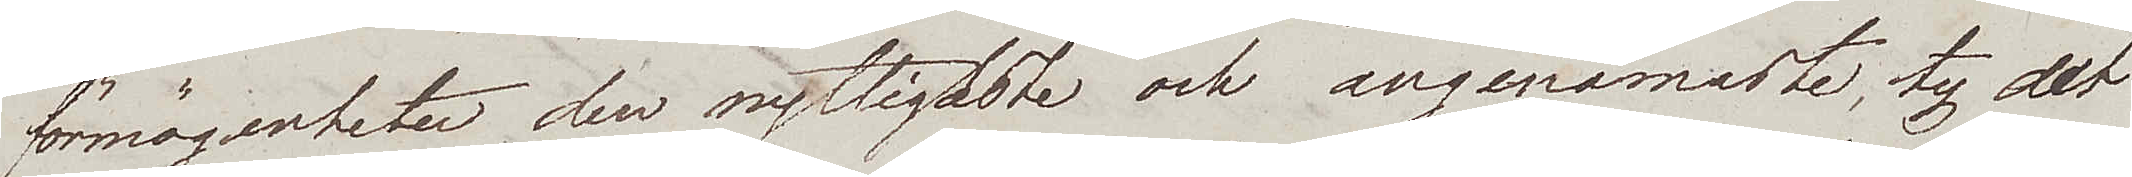förmögenheter den nyttigaste och angenämaste, ty det
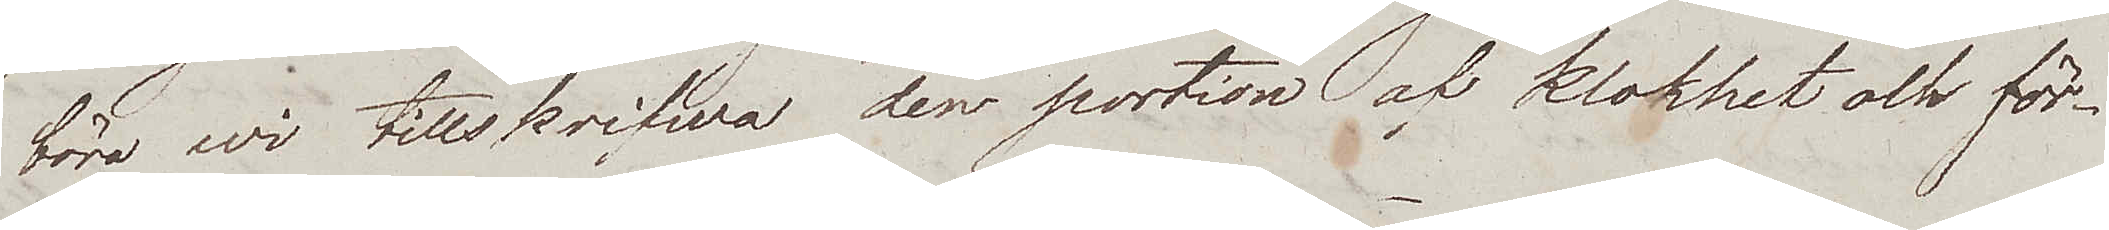böra wi tillskrifwa den portion af klokhet och för¬
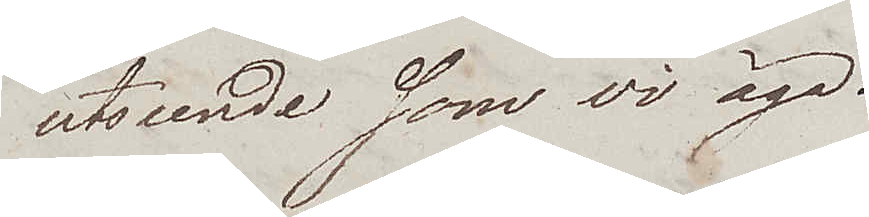utseende som vi äga.
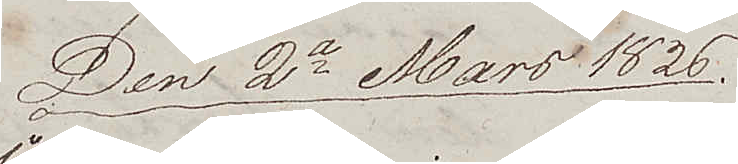Den 2e Mars 1826
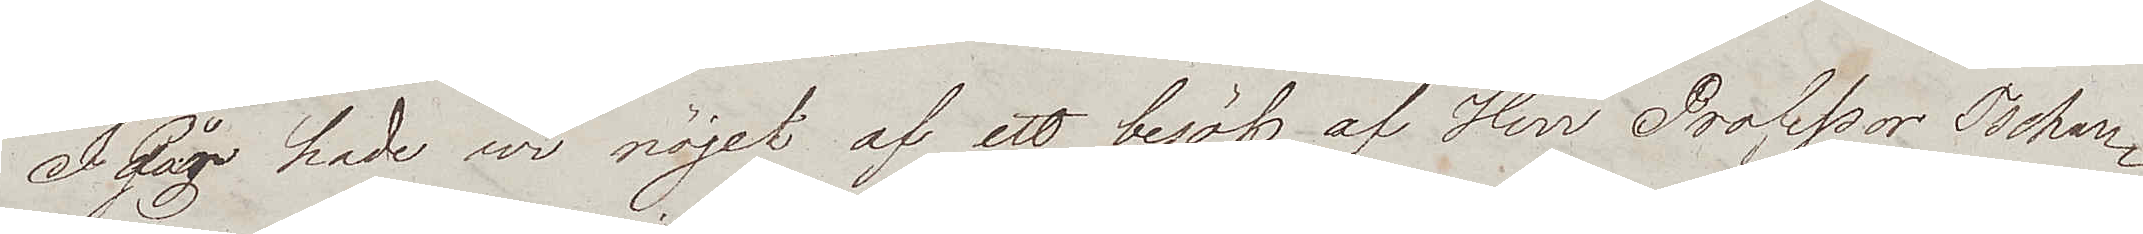Igår hade wi nöjet af ett besök af Herr Professor Tschan¬
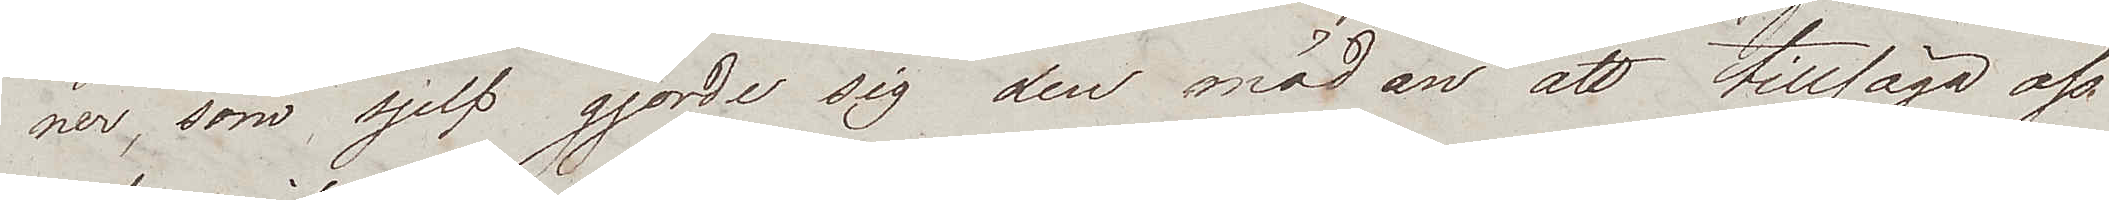ner, som sjelf gjorde sig den mödan att tilllsäga oss
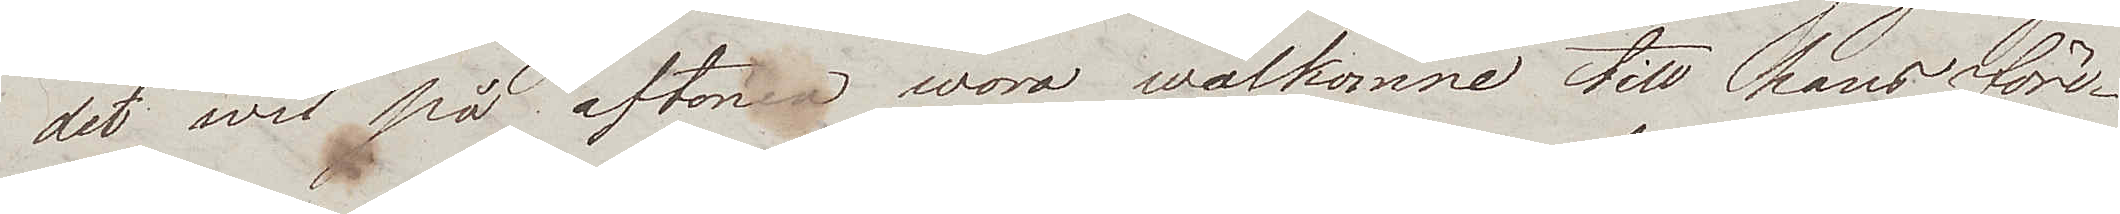det wi på aftonen woro wälkomne till hans före¬
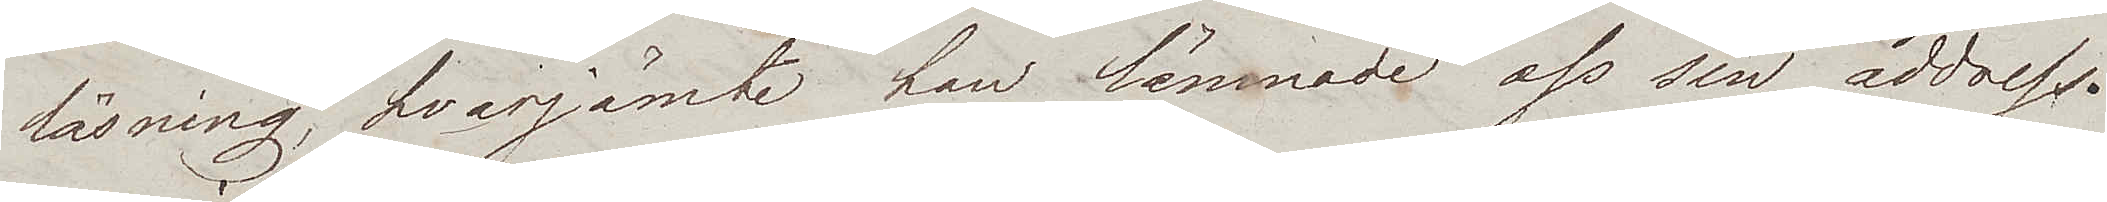läsning, hvarjämte han lämnade oss sin address.
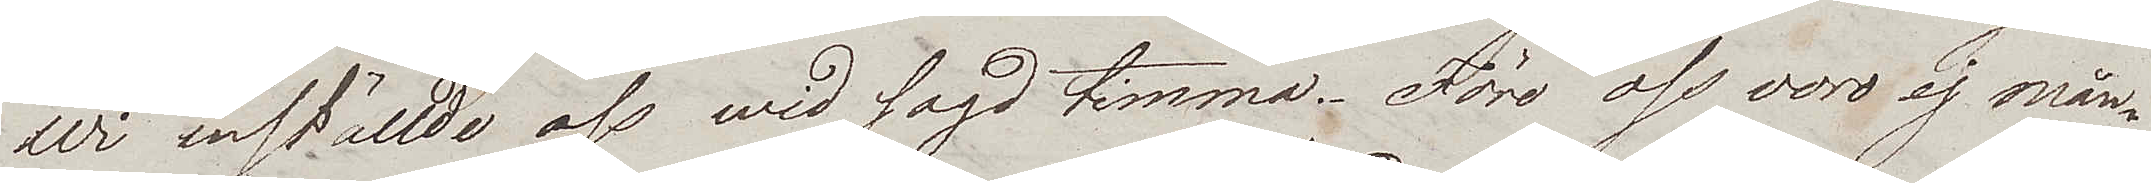Wi inställde oss wid sagd timma. Före oss voro ej mån¬
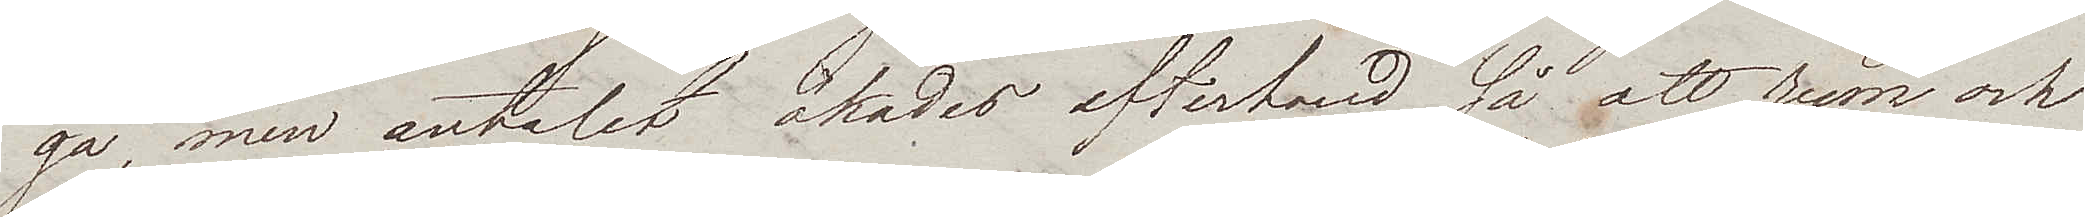ga, men antalet ökades efterhand så att rum och
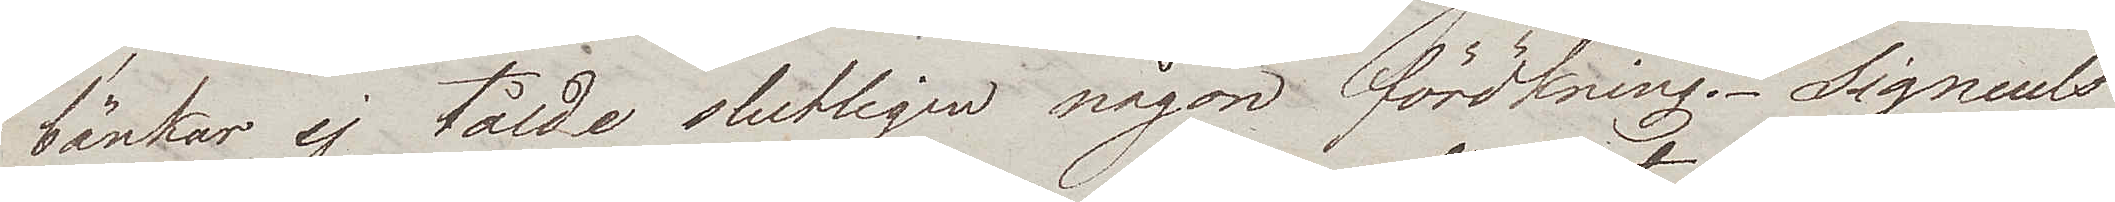bänkar ej tålde slutligen någon förökning. Signeuls
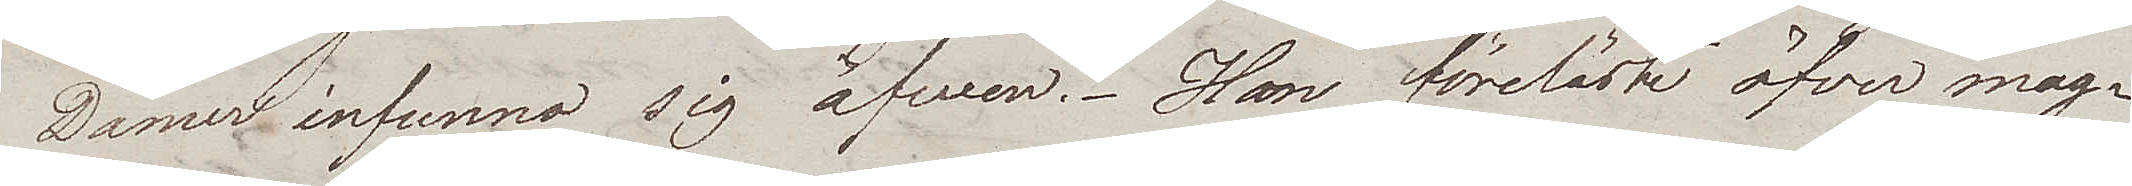Damer infunno sig äfven. Han föreläste öfver mag¬
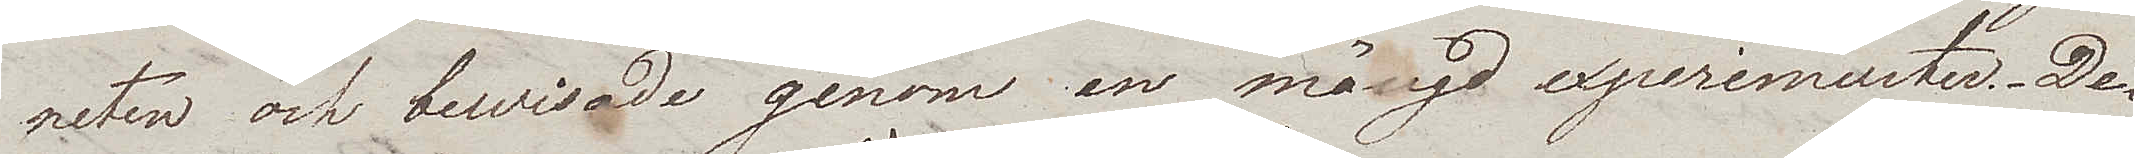neten och bewisade genom en mängd experimenter. De
